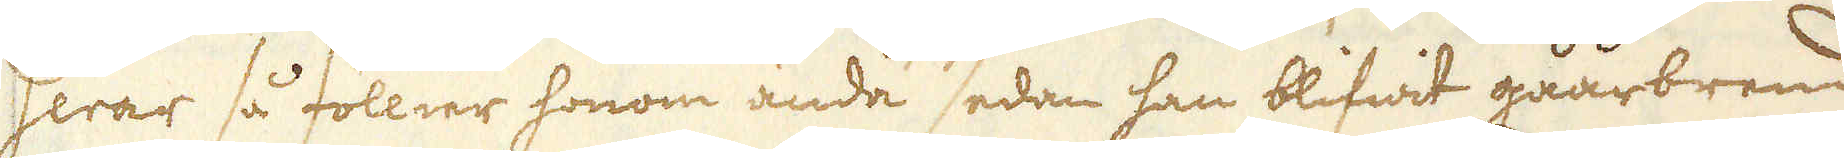serar så föllier honom ända sedan han blifwit gåårbrend
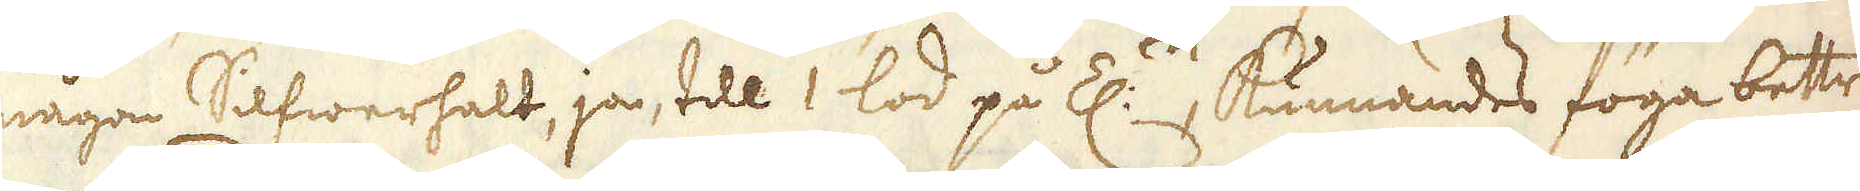någon Silfwerhalt, ja, till 1 lod på Z:n, kunnandes föga bettre
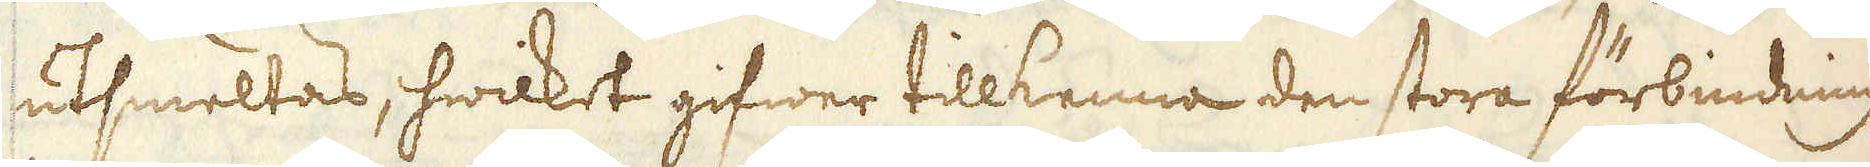utsmeltas, hwilket gifwer tillkenna den stora förbindning
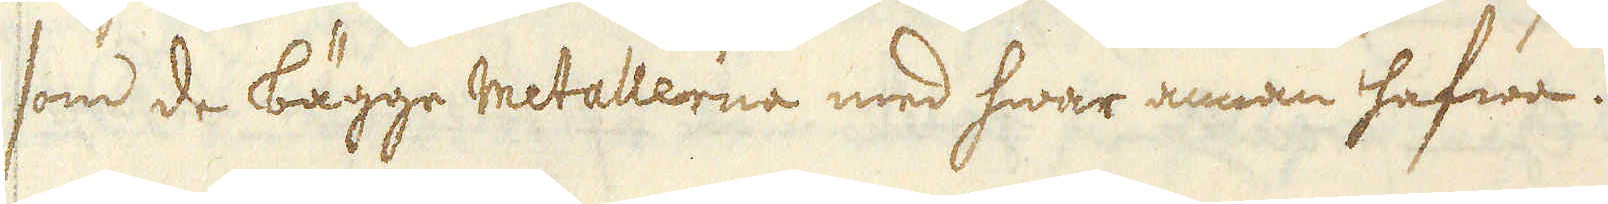som de bägge metallerna med hwar annan hafwa.
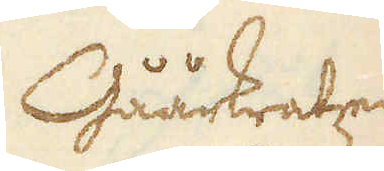Gåårkratzen
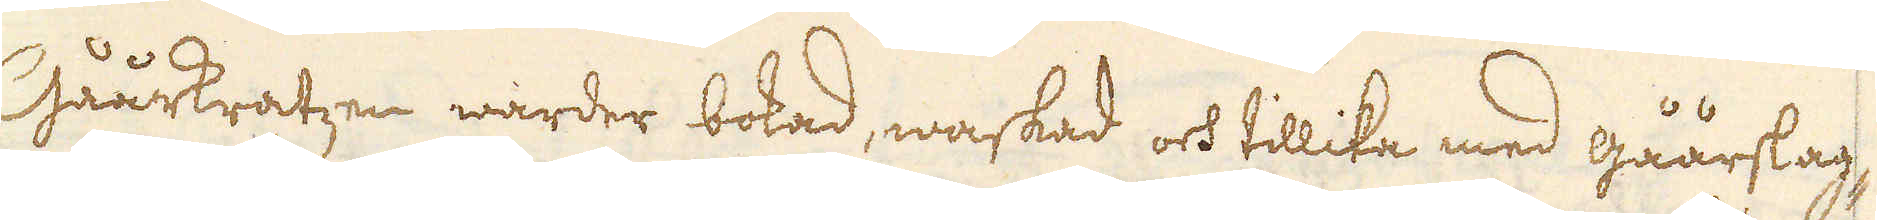Gåårkratzen warder bokad, waskad och tillika med gåårslag-
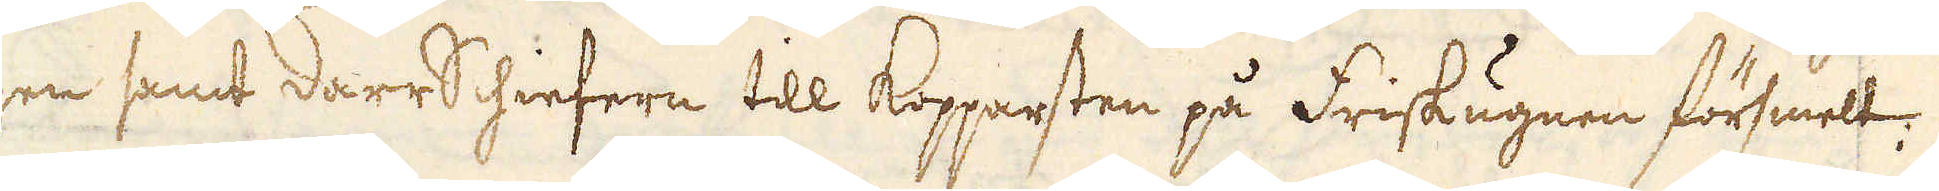gen samt darrSchiefern till Kopparsten på Friskugnen försmelt.
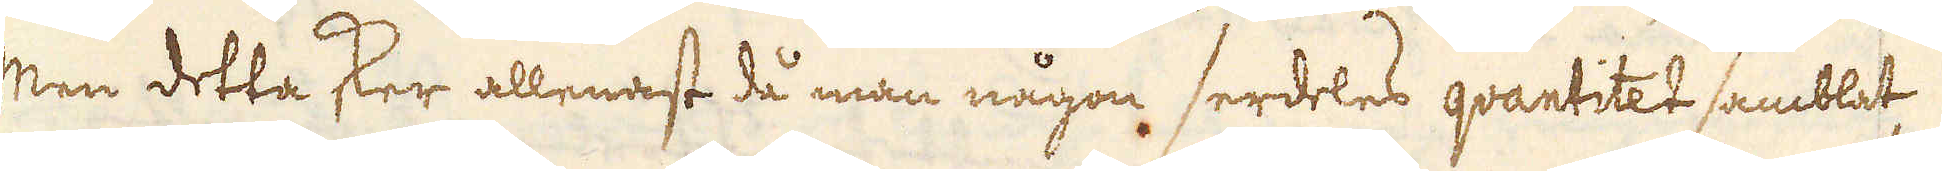Men detta sker allenast då man någon serdeles qvantitet samblat,
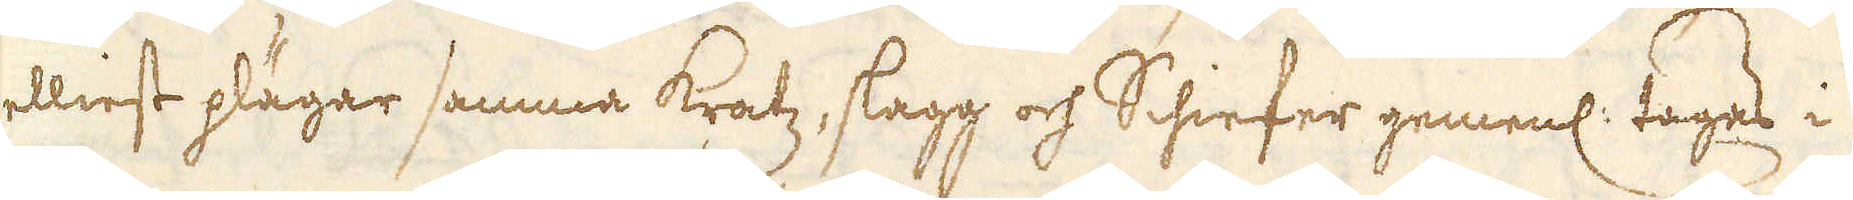elliest pläger samma kratz, slagg och Schiefer gemenl: tages i
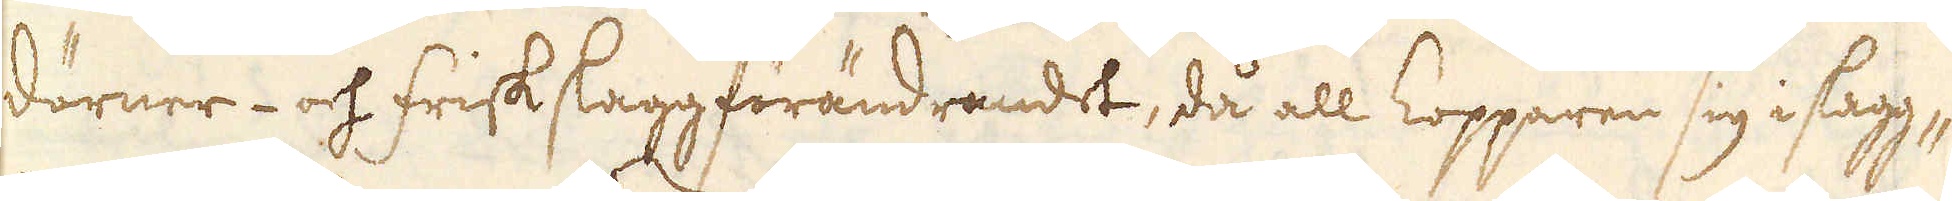dörner- och friskslaggförändrandet, då all kopparen sig i slagg-
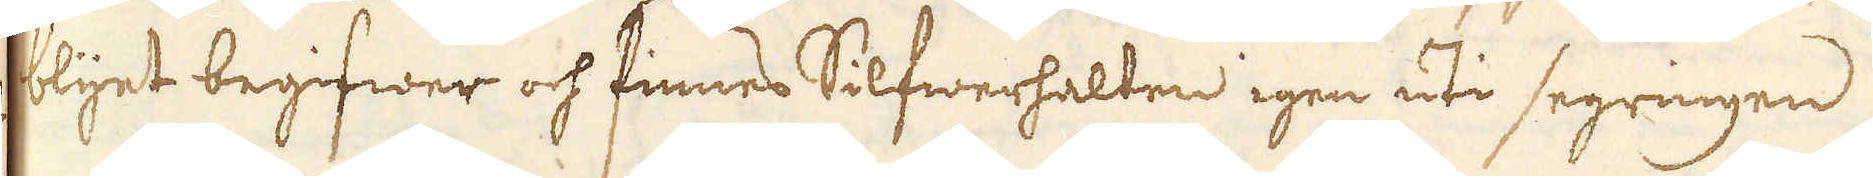blyet begifwer och finnes Silfwerhalten igen uti segringen
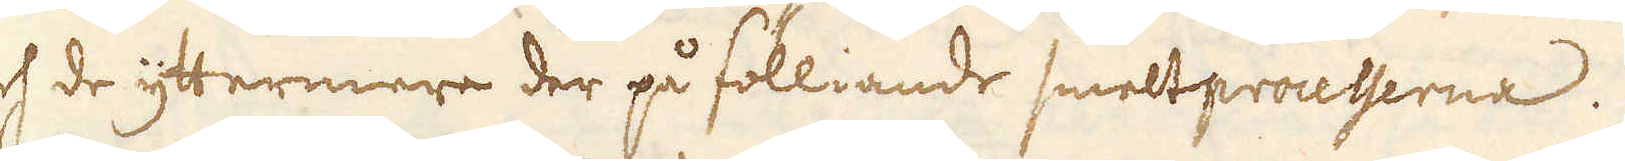och de yttermere der på fölliande smeltprocesserna.
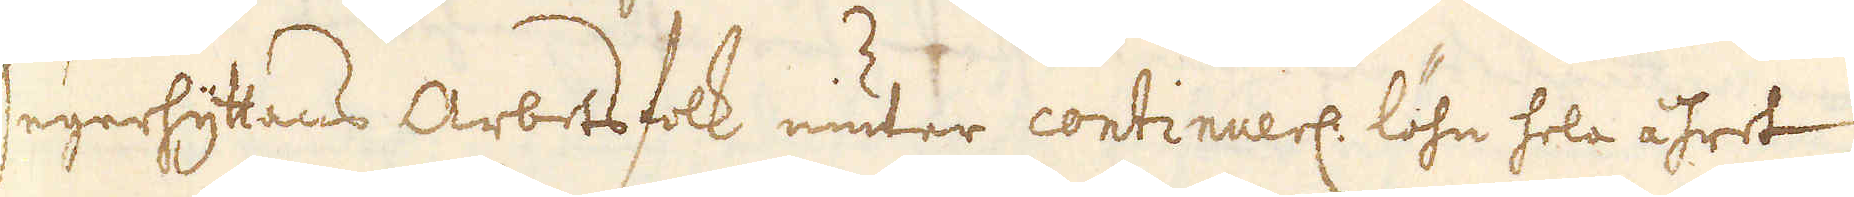Segerhytans arbetsfolk niuter continuerl löhn hela åhret
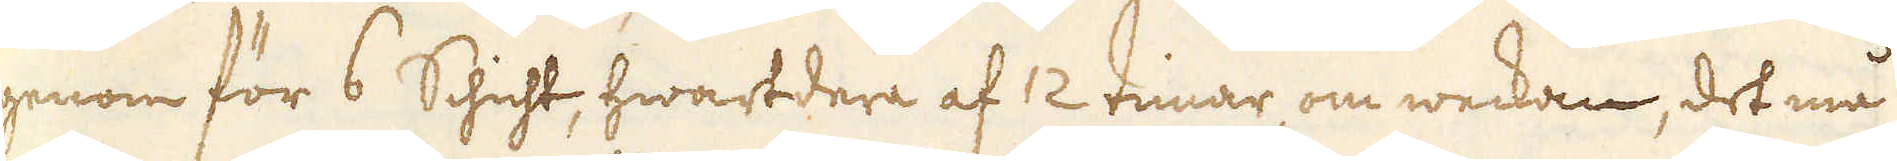igenom för 6 Schicht, hwartdera af 12 timar, om weckan, det må
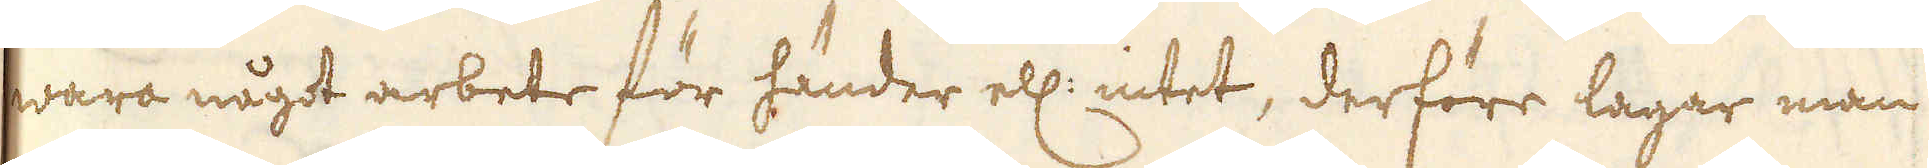wara något arbete för händer ell: intet, derföre lagar man
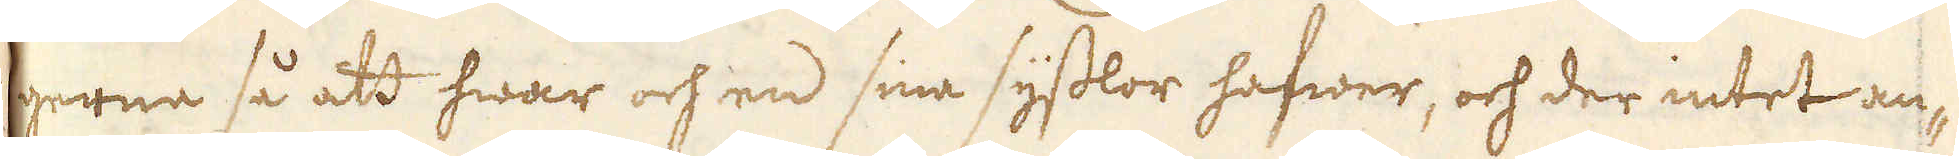gerna så att hwar och en sina sysslor hafwer, och der intet an-
